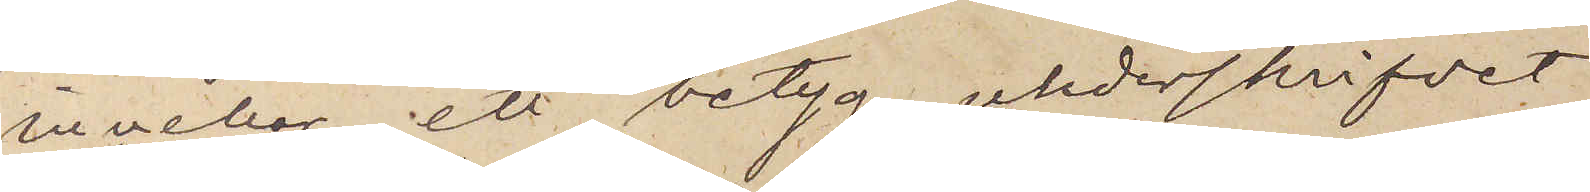innehar ett betyg, underskrifvet
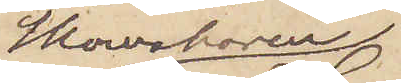Skomakaren
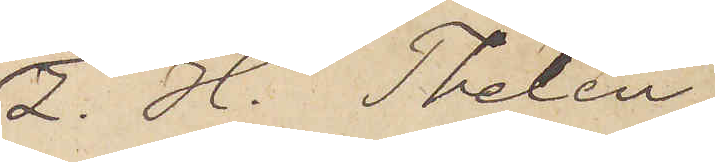Z. H. Thelén
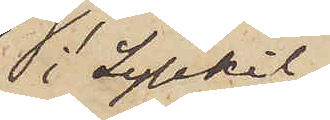i Lysekil
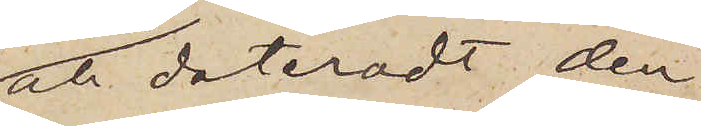och dateradt den
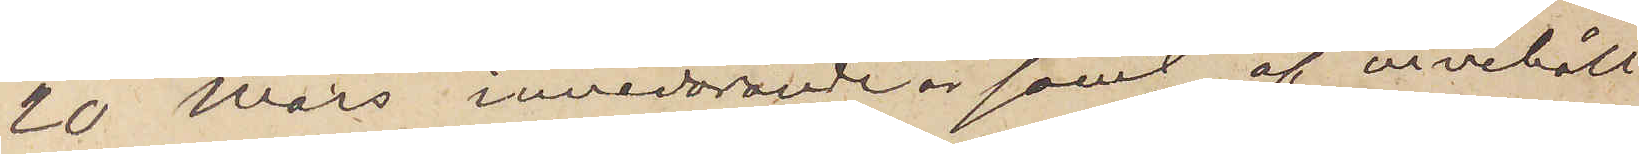20 Mars innevarande år samt af innehåll
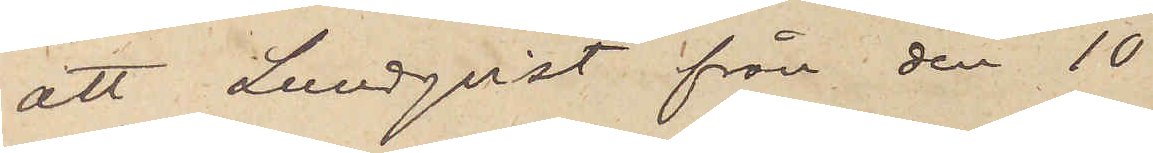att Lundqvist från den 10
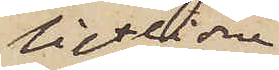sistlidne
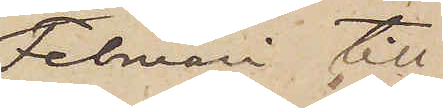Februari till
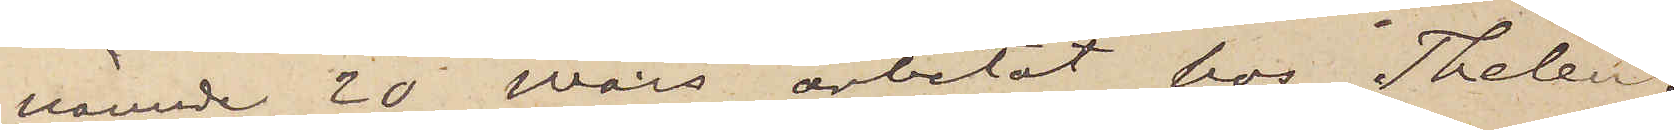nämnde 20 mars arbetat hos Thelén.
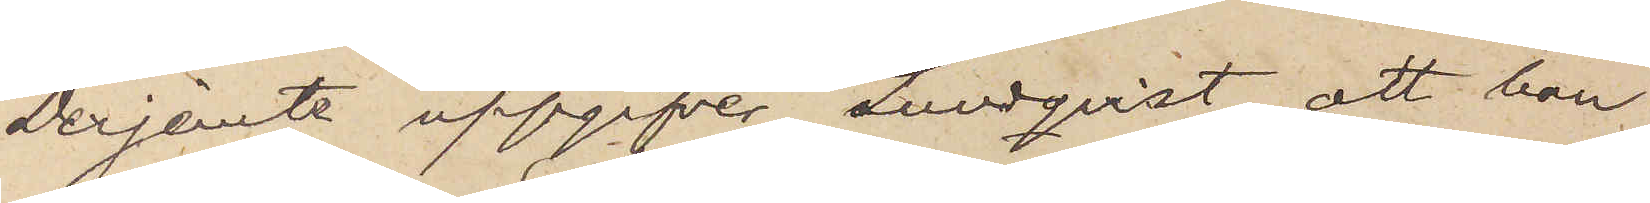Derjemte uppgifver Lundqvist, att han
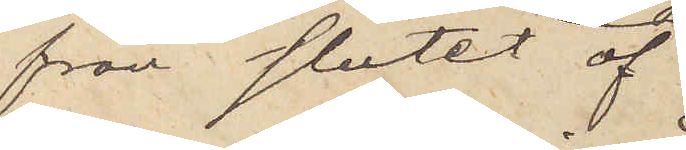från slutet af
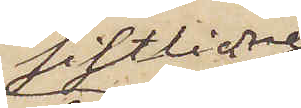sistlidne
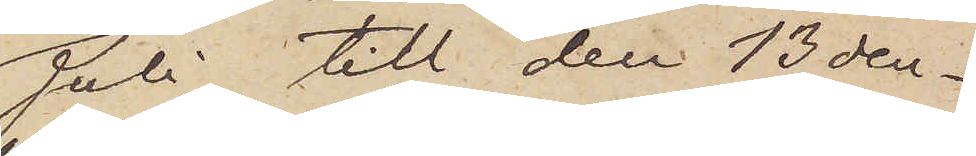Juli till den 13 den¬
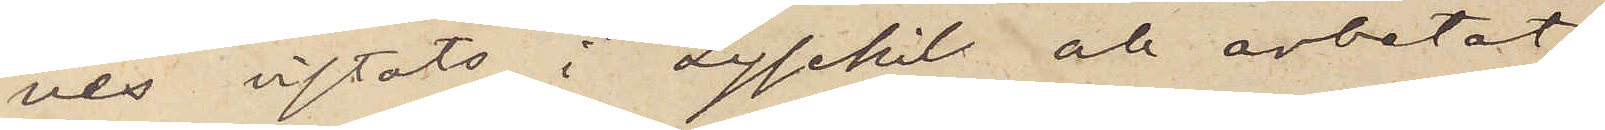nes vistats i Lysekil och arbetat
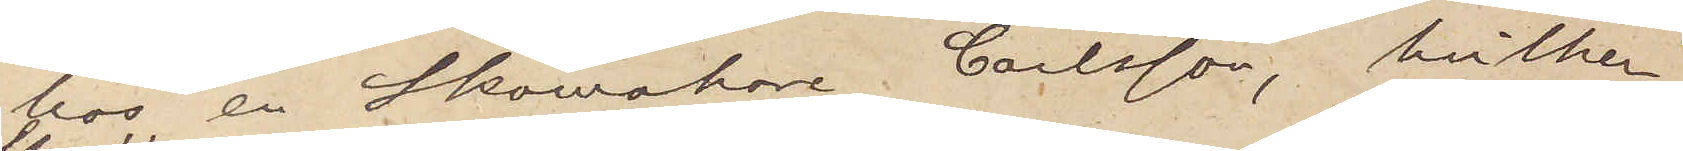hos en Skomakare Carlsson, hvilken,
